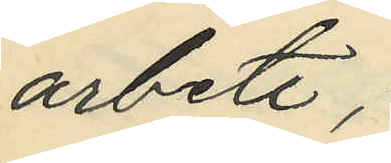arbete;
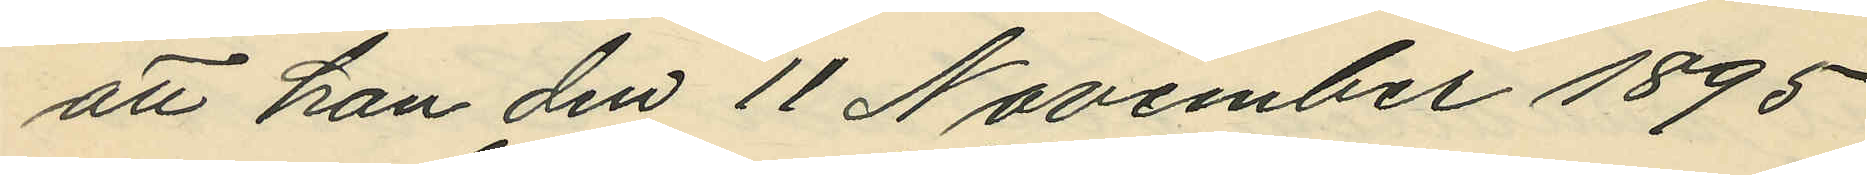att han den 11 November 1895
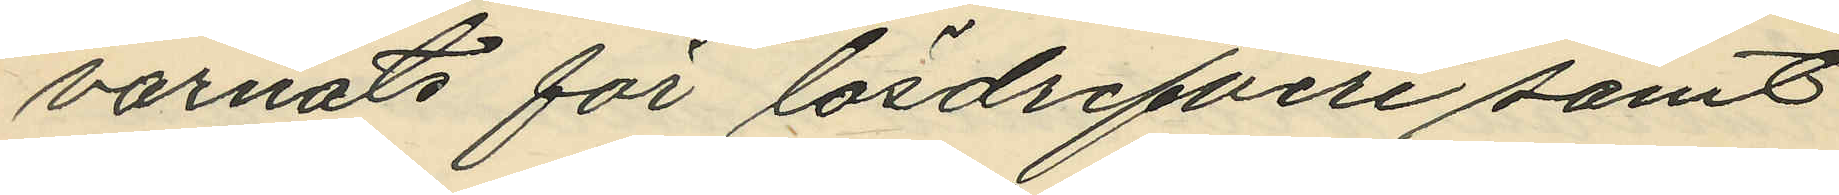varnats för lösdrifveri samt
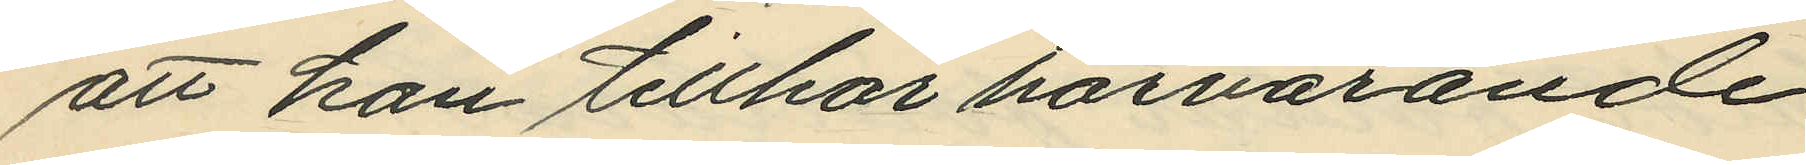att han tillhör härvarande
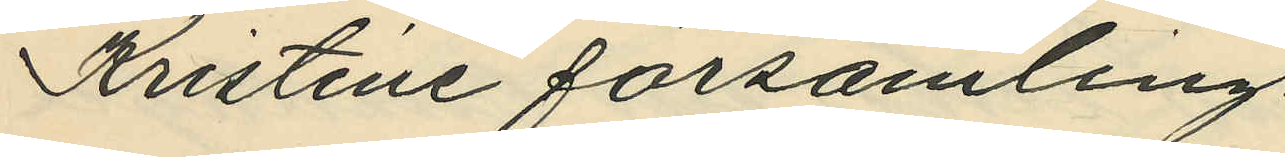Kristine församling.
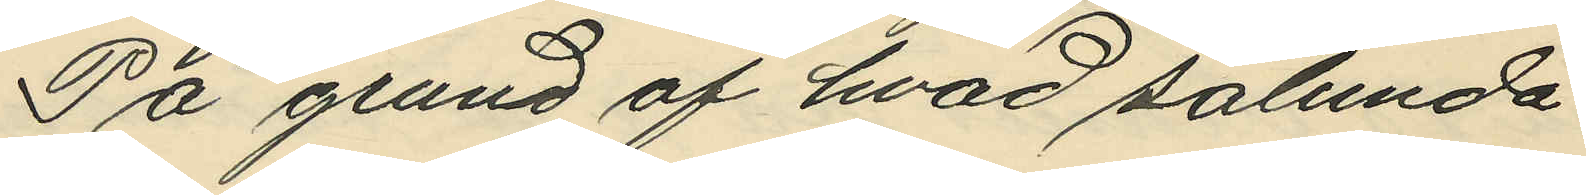På grund af hvad sålunda
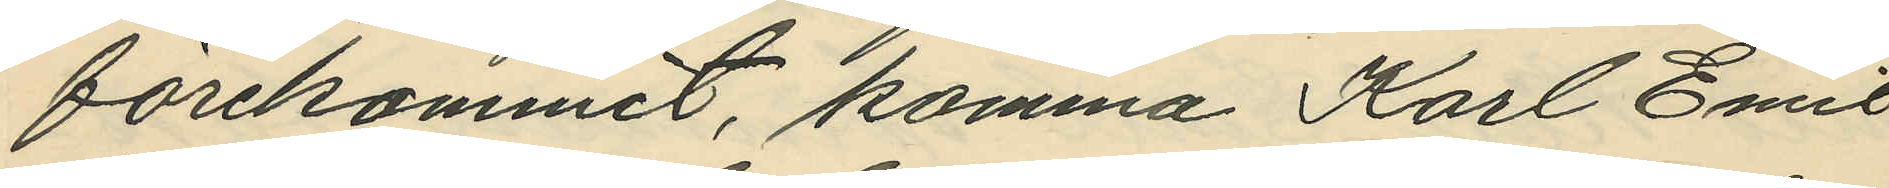förekommit, komma Karl Emil
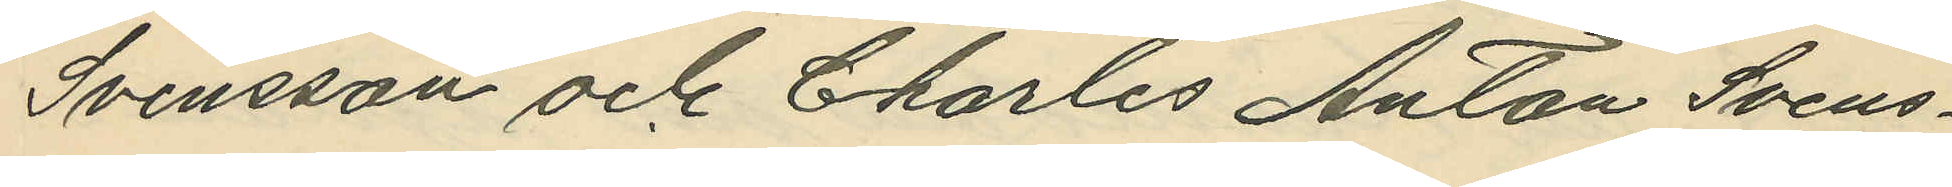Svensson och Charles Anton Svens¬
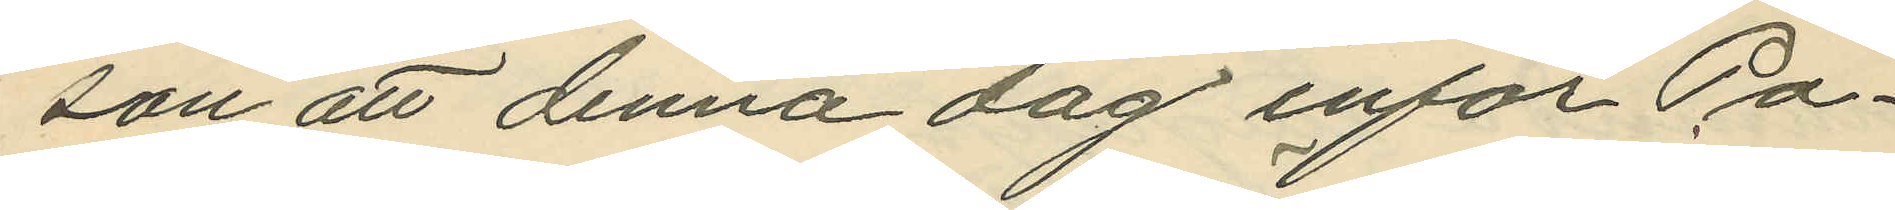son att denna dag inför Po¬
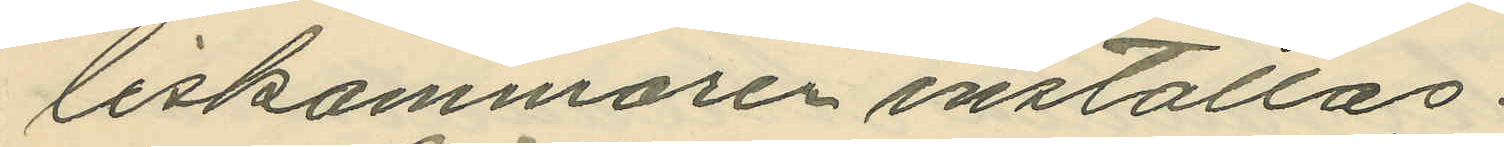liskammaren inställas.
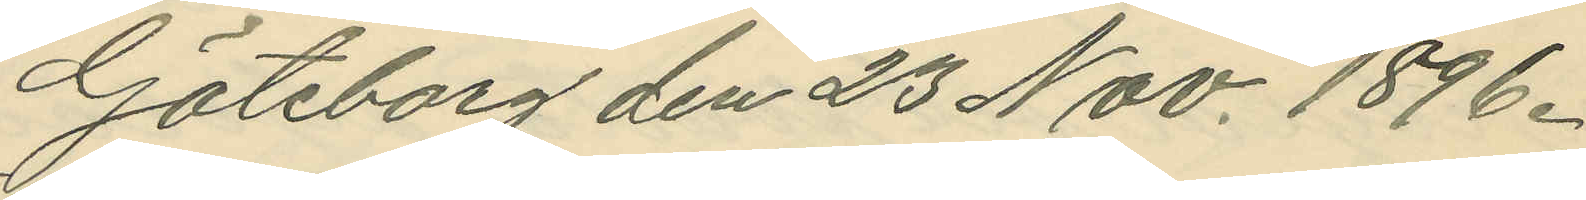Göteborg den 23 Nov. 1896.
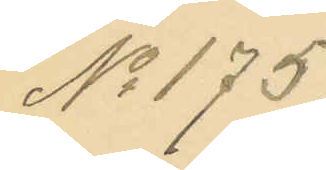No 175.
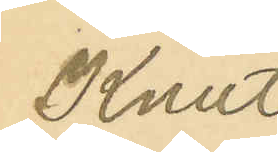Knut
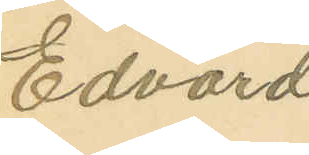Edvard
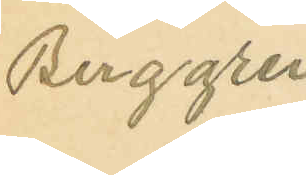Berggren
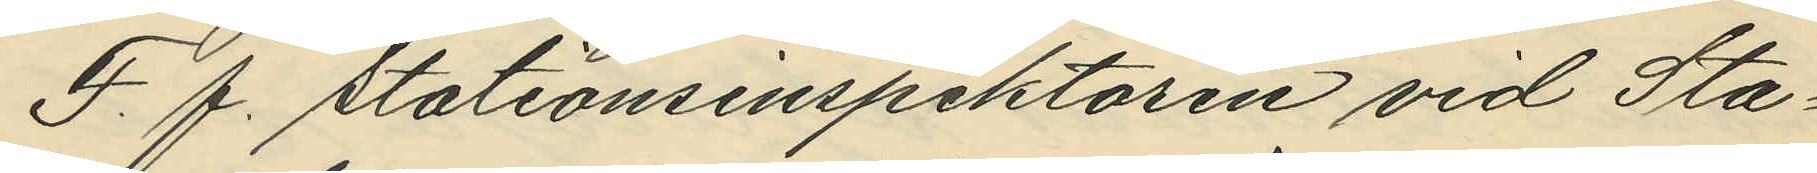F. f. Stationsinspektoren vid Sta¬
